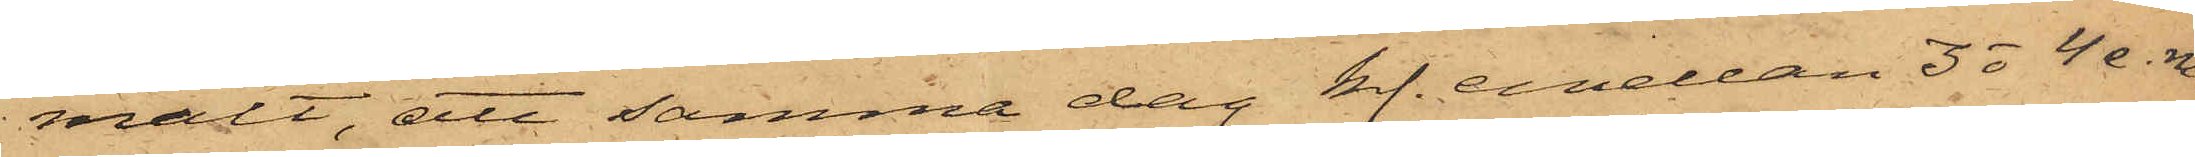mält, att samma dag kl. emellan 3 o 4 e.m.
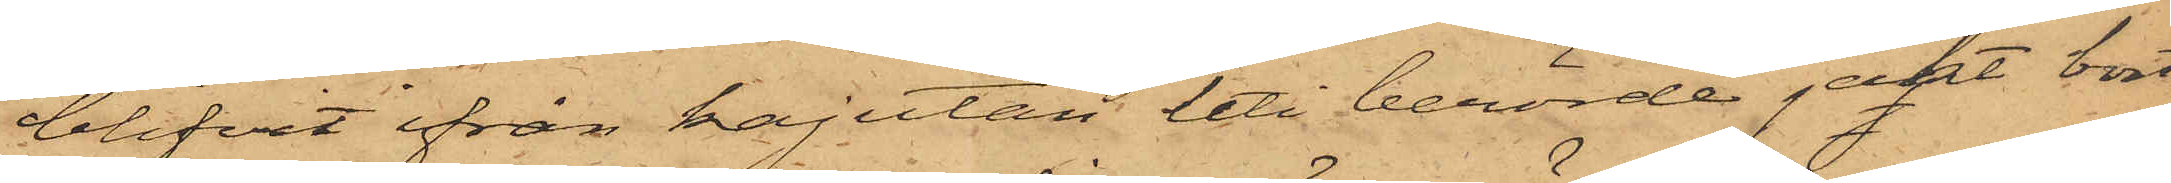blifvit ifrån kajutan uti berörde jakt bort¬
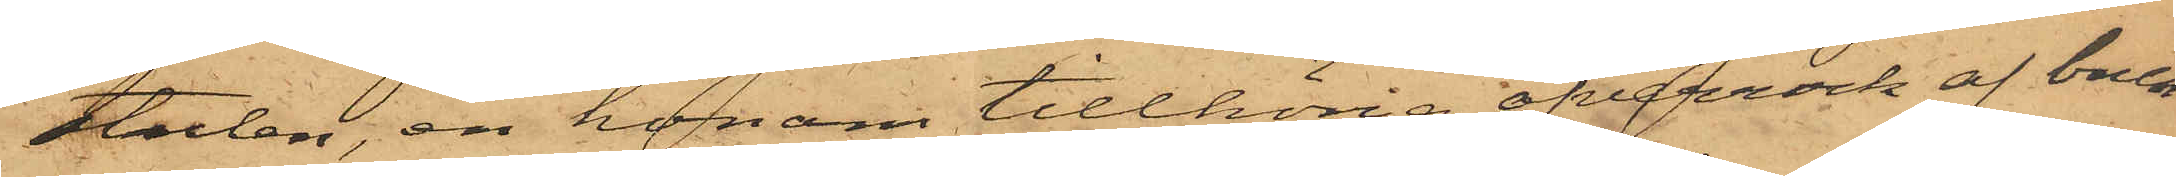stulen, en honom tillhörig öfverrock af brun
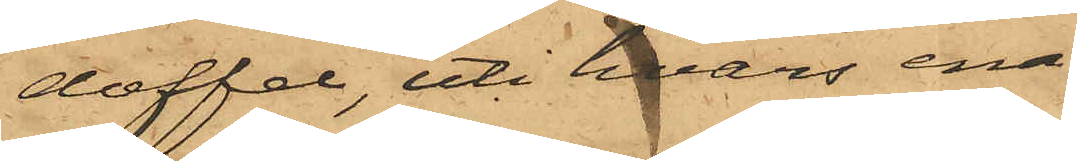doffel, uti hvars ena
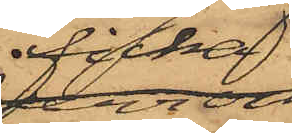ficka
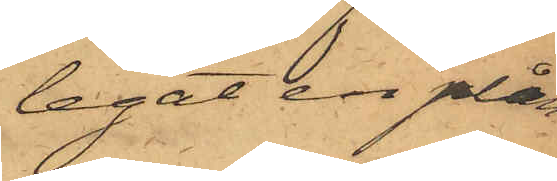legat en plån¬
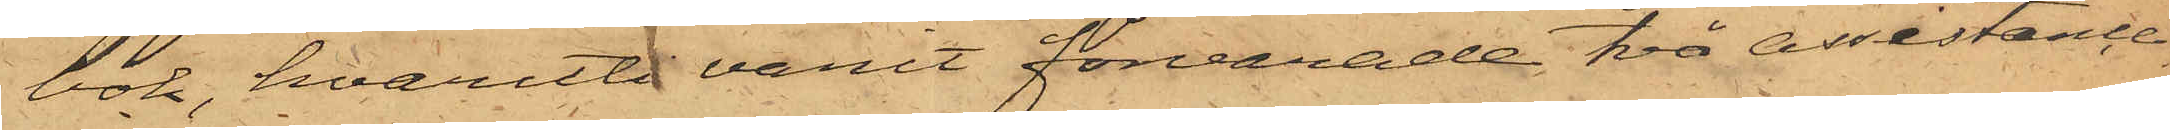bok, hvaruti varit förvarade två assistance¬
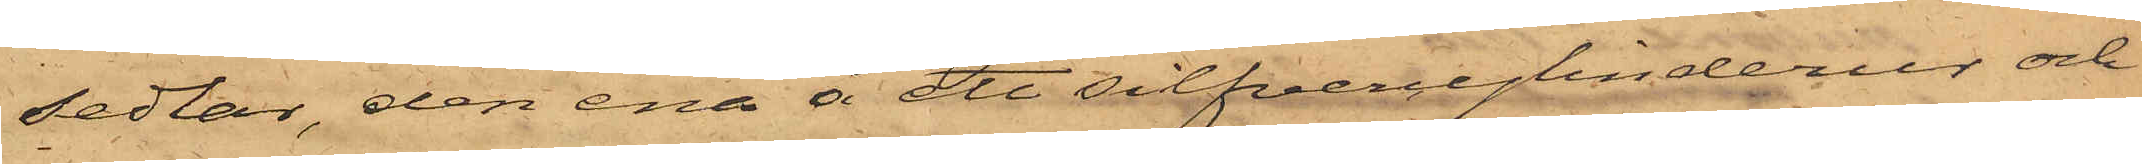sedlar, den ena å ett silfvercylinderur och
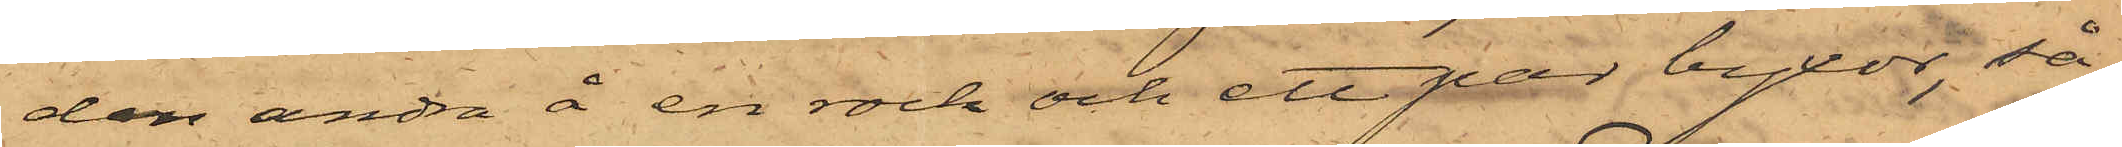den andra å en rock och ett par byxor, så
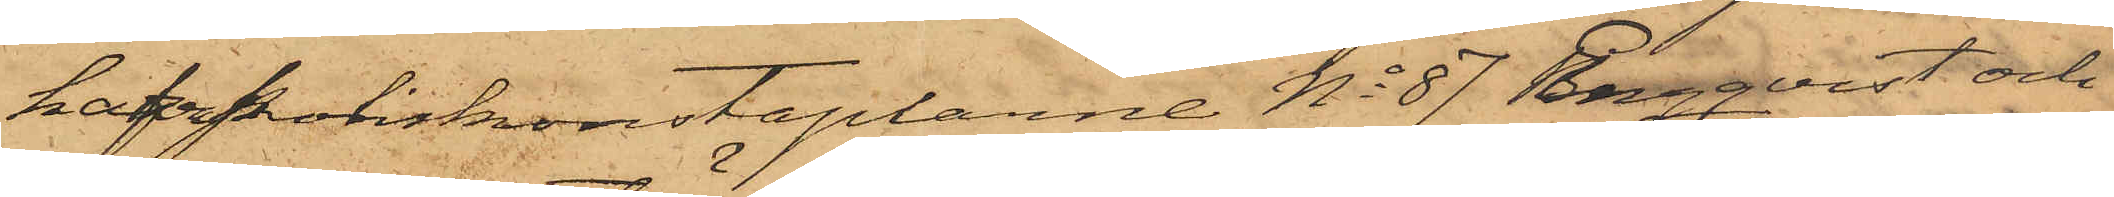hafva Poliskkonstaplarne No 87 Engqvist och
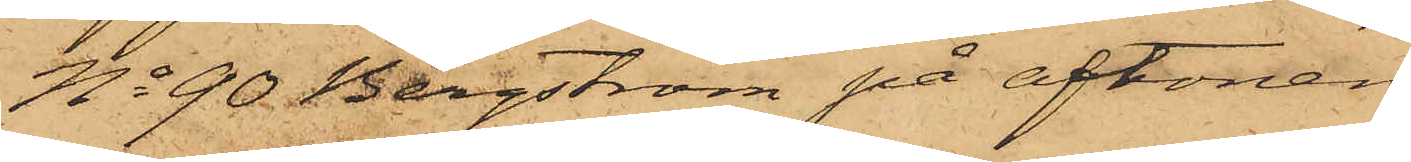No 90 Bergström på aftonen
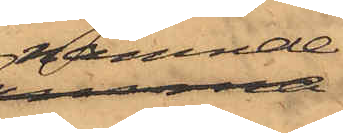nämnde
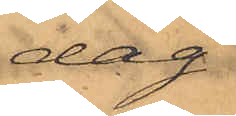dag
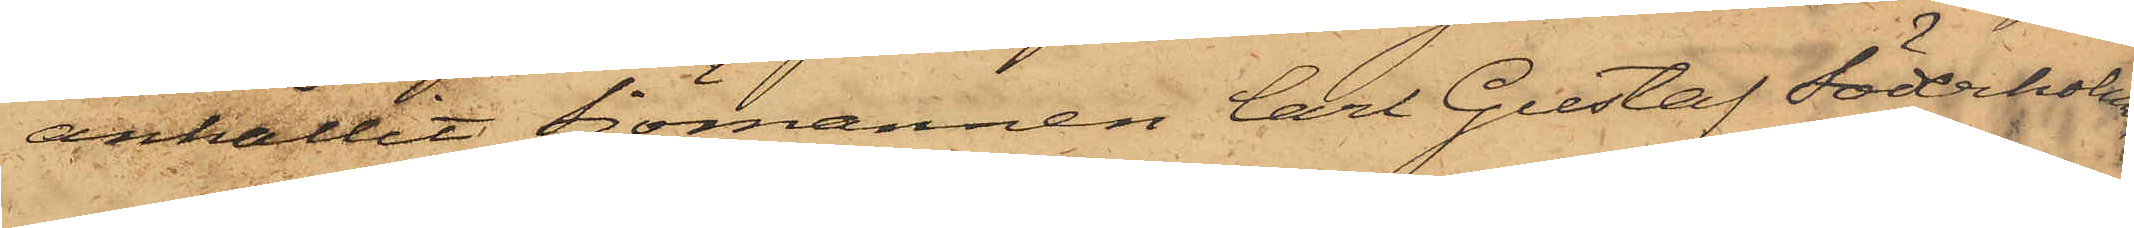anhållit Sjömannen Carl Gustaf Söderholm,
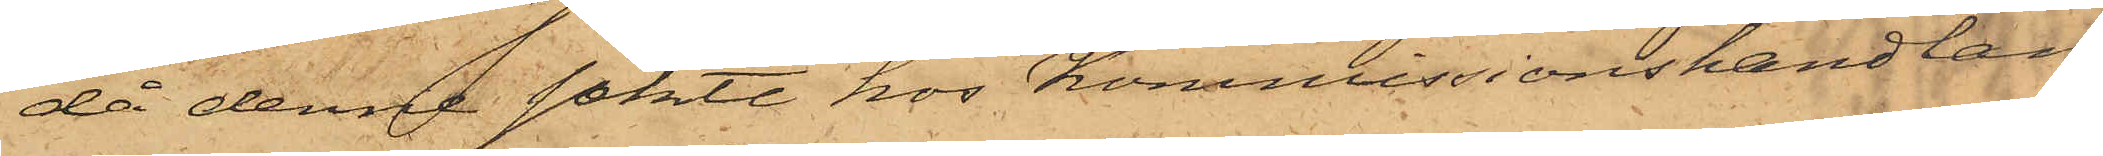då denne sökte hos Kommissionshandlan¬
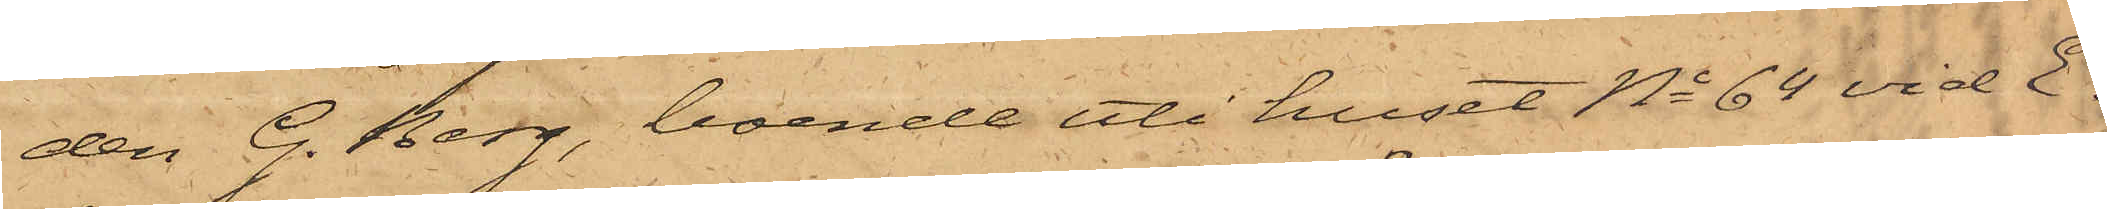den G. Berg, boende uti huset No 64 vid E¬
